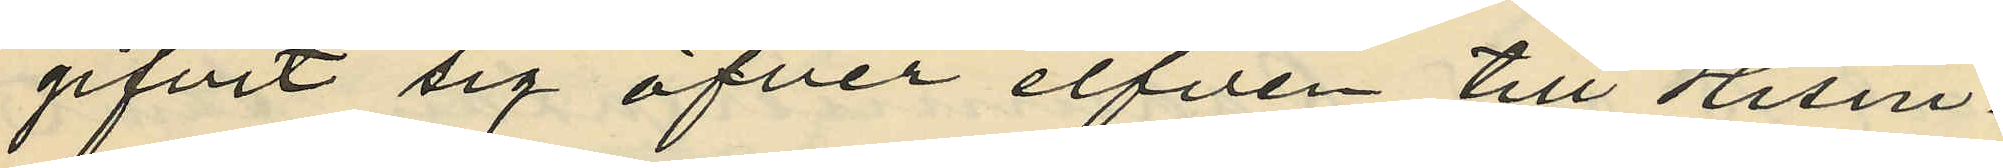gifvit sig öfver elfven till Hisin¬
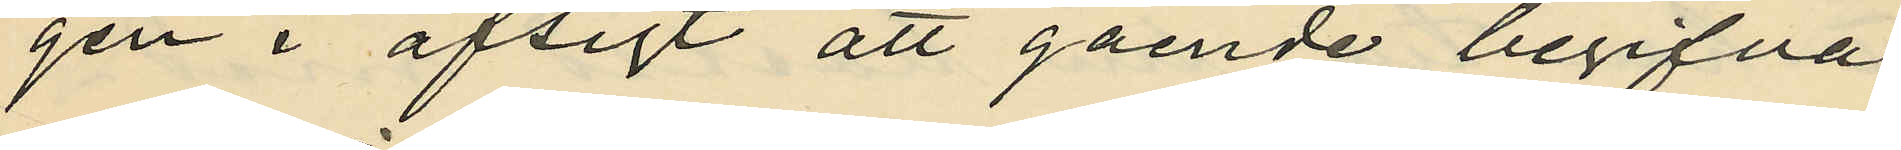gen i afsigt att gående begifva
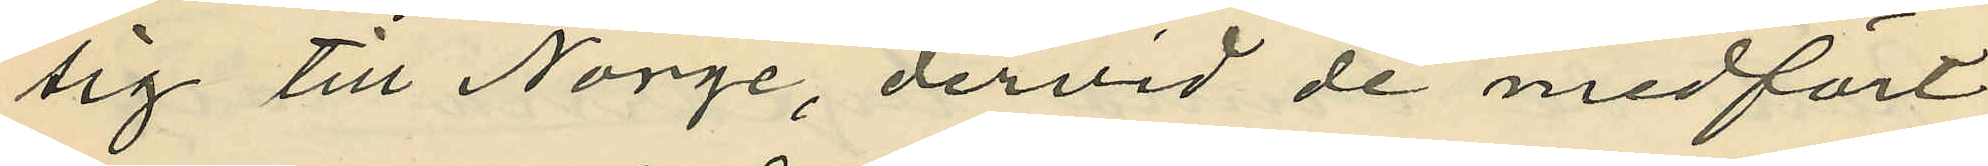sig till Norge, dervid de medfört
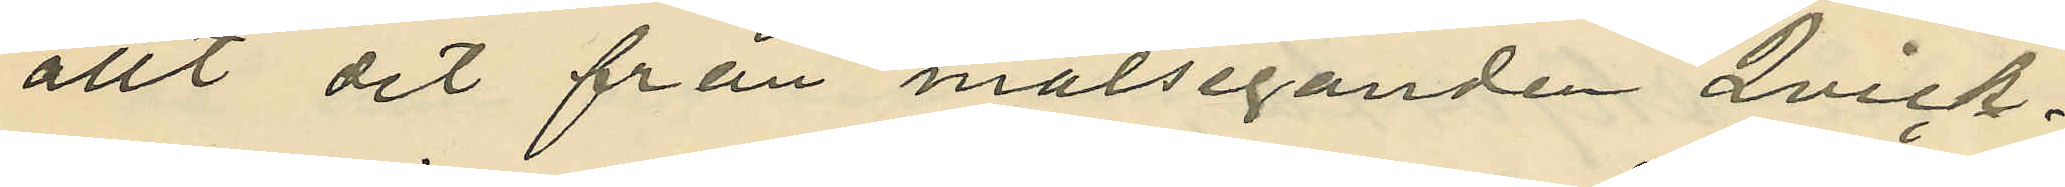allt det från målseganden Qvick¬
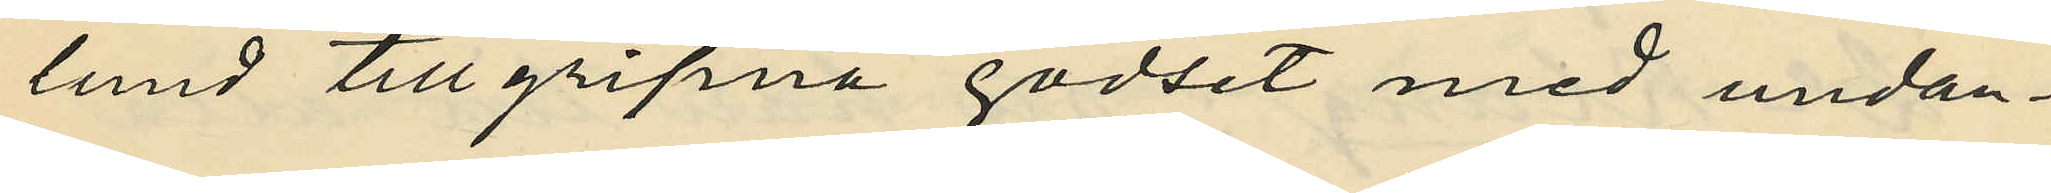lund tillgripna godset med undan¬
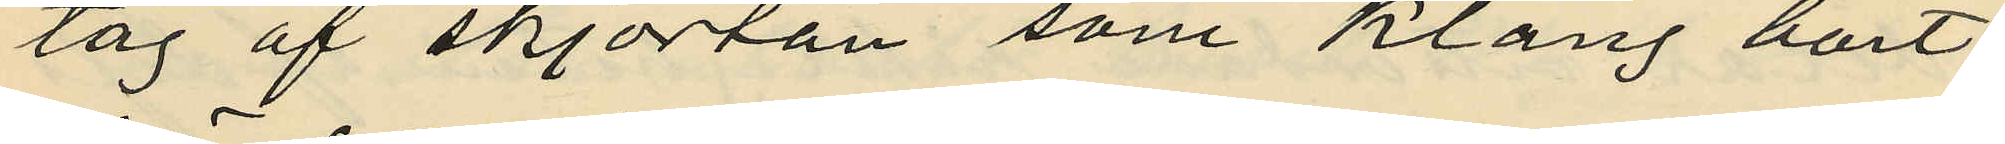tag af skjortan som Klang bort¬
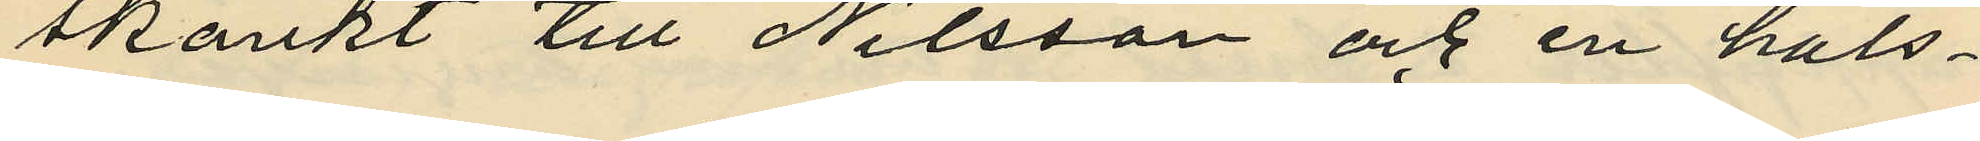skänkt till Nilsson och en hals¬
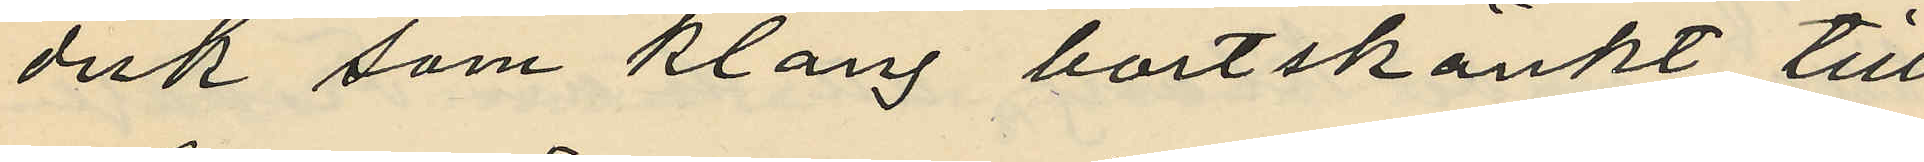duk som Klang bortskänkt till
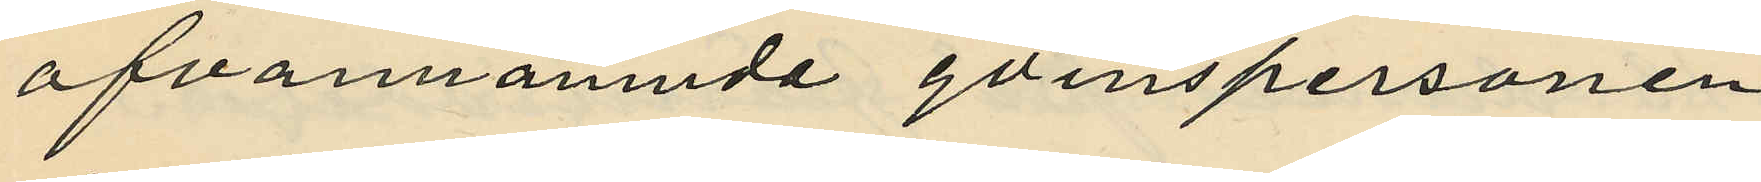ofvannämnde qvinspersonen
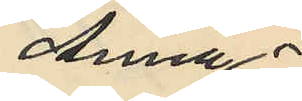Anna
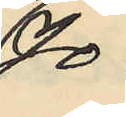Jo¬
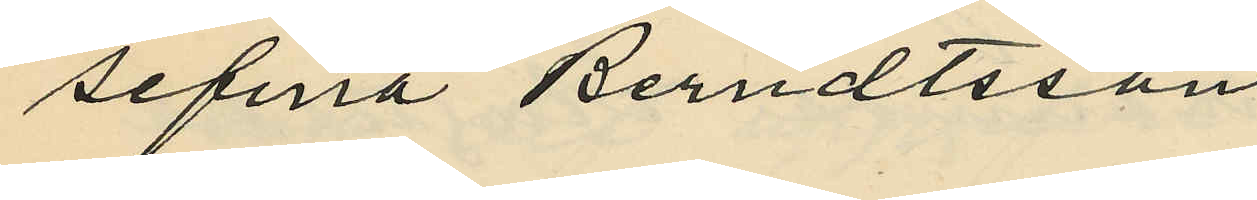sefina Berndtsson;
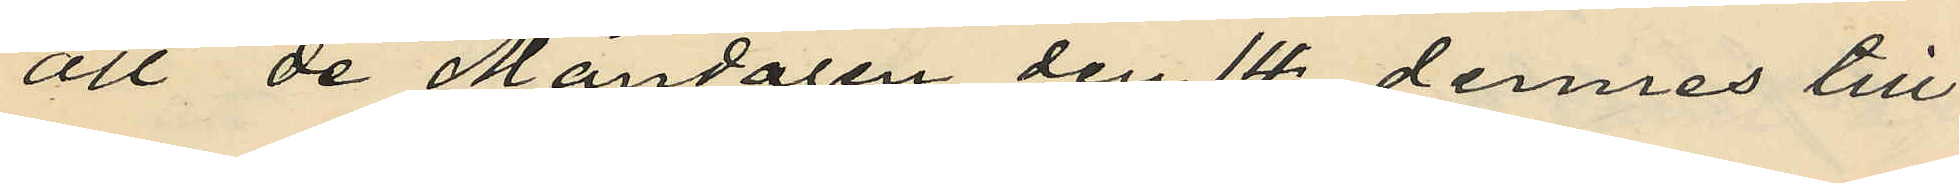att de Måndagen den 14 dennes till
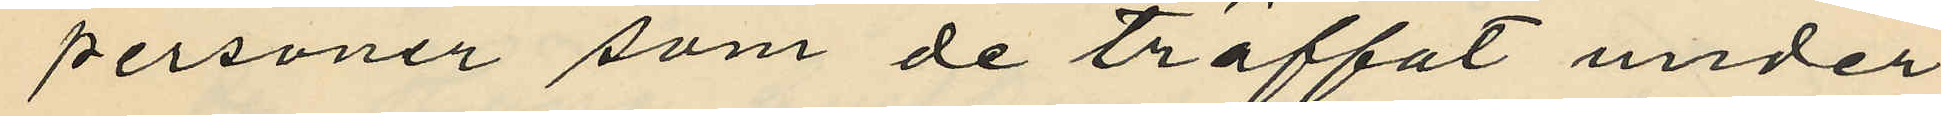personer som de träffat under
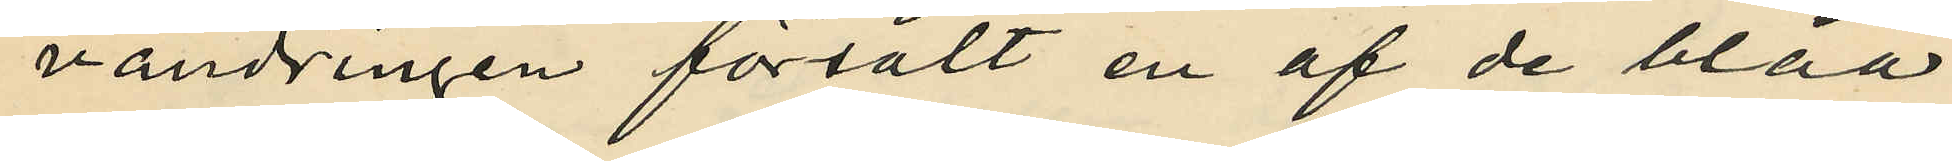vandringen försålt en af de blåa
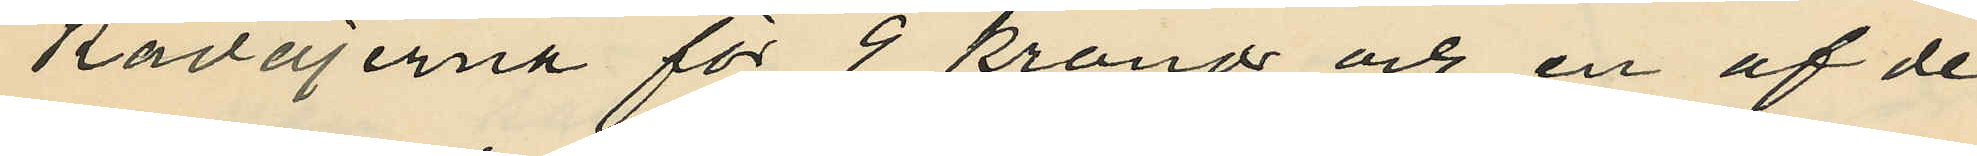kavajerna för 9 kronor och en af de
